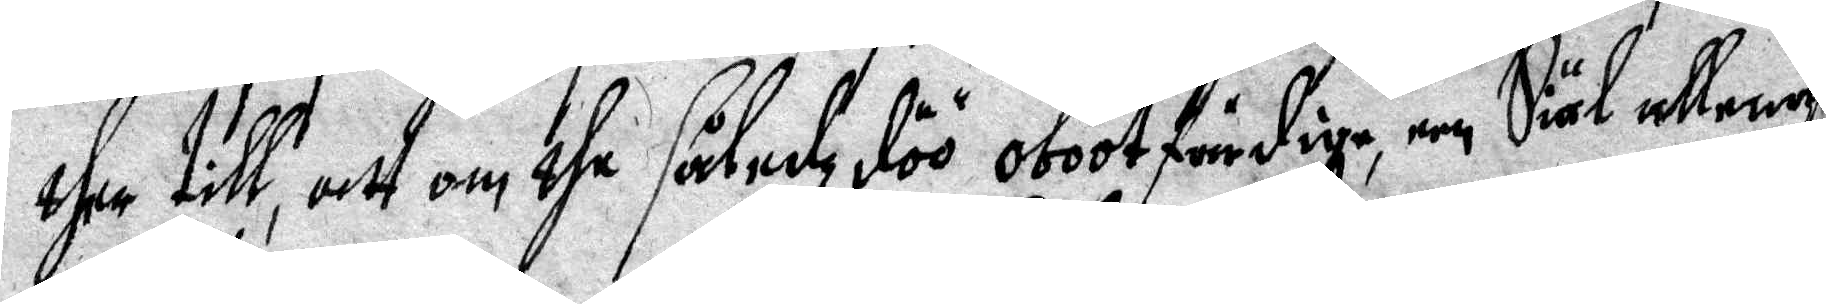ther till, att om dhe såledz döö obootfärdige, een Siäl allenas
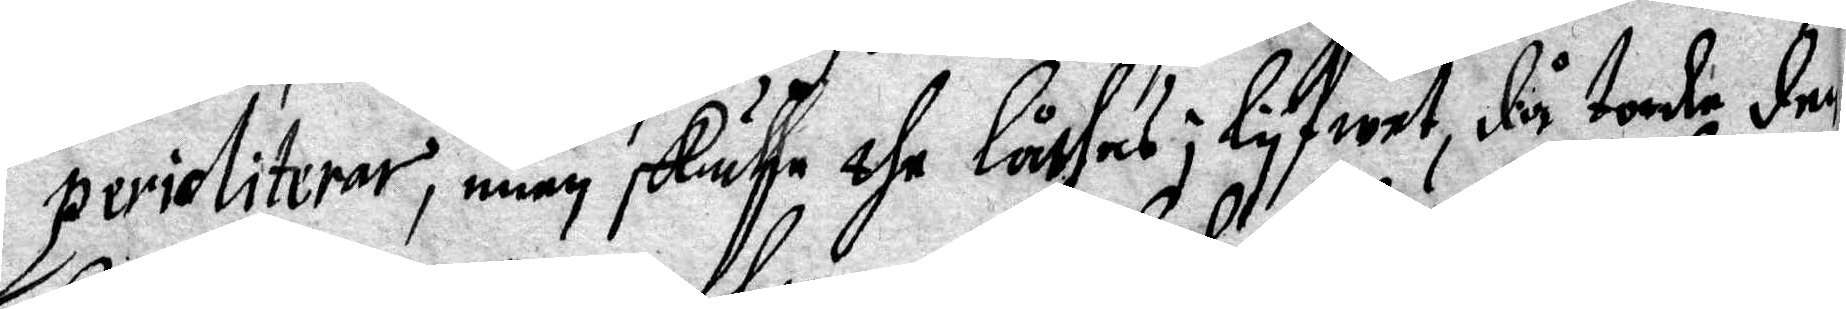perioliterar, men skulle the låthas i lyfwet, då torde den
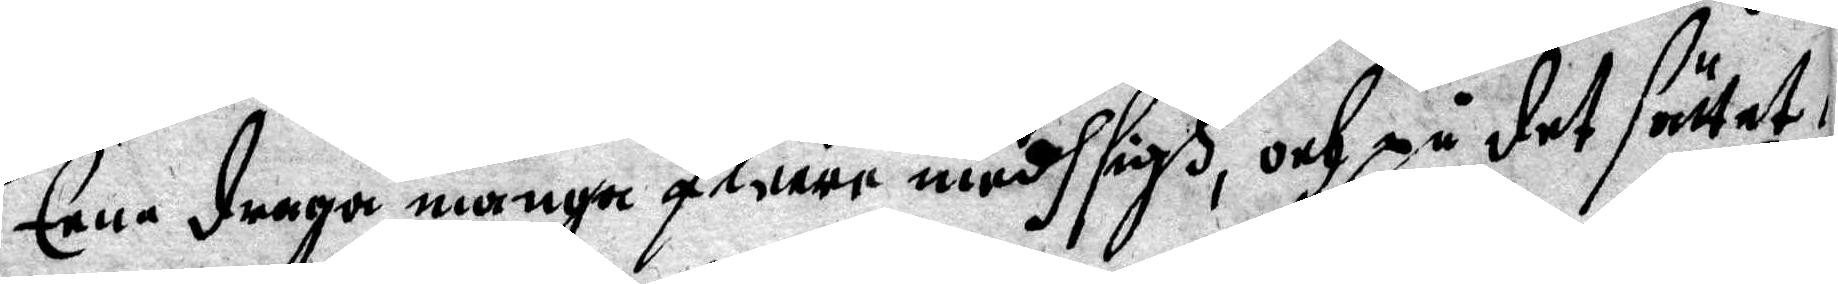Eena draga många fleere medh sigh, och på det sättet
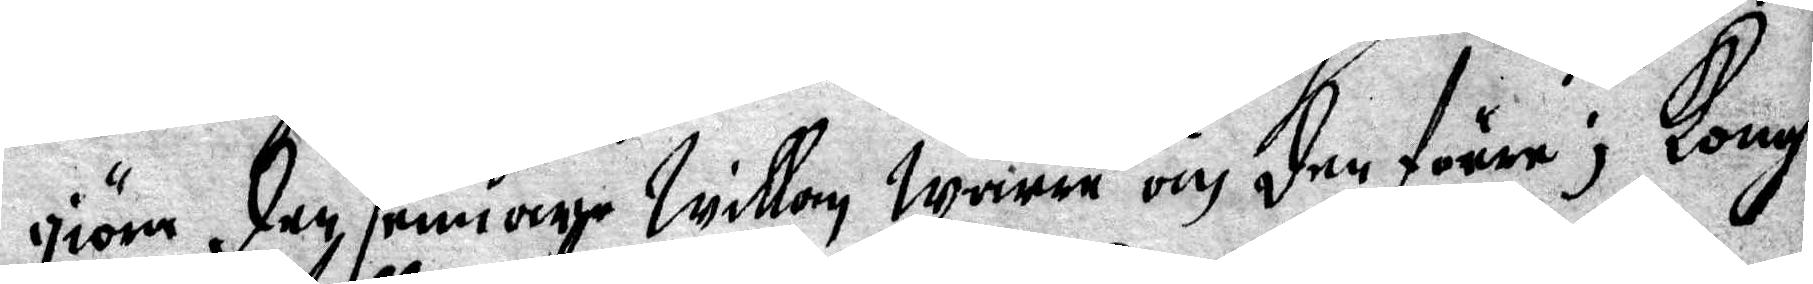giöra den senare willan wärre än den förre; Kongl 
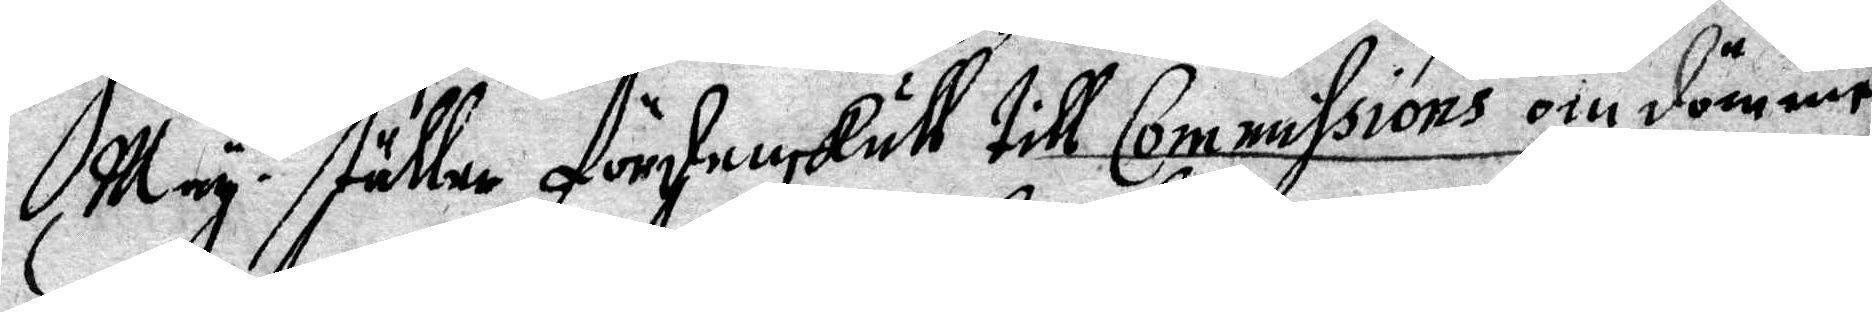May.t ställer fördenskull till Commissions om dömme 
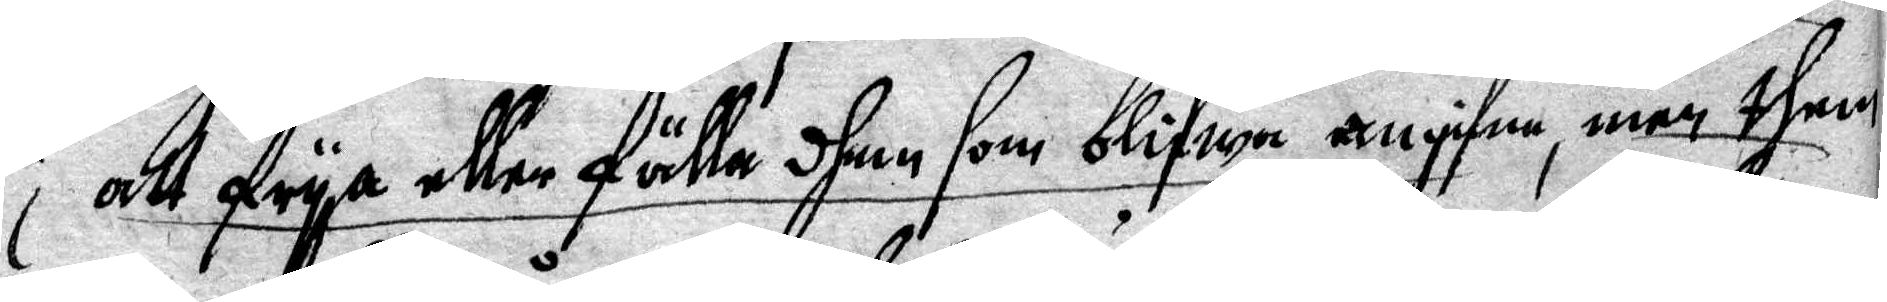att frya eller fälla dhem som blifwa angifna, men them
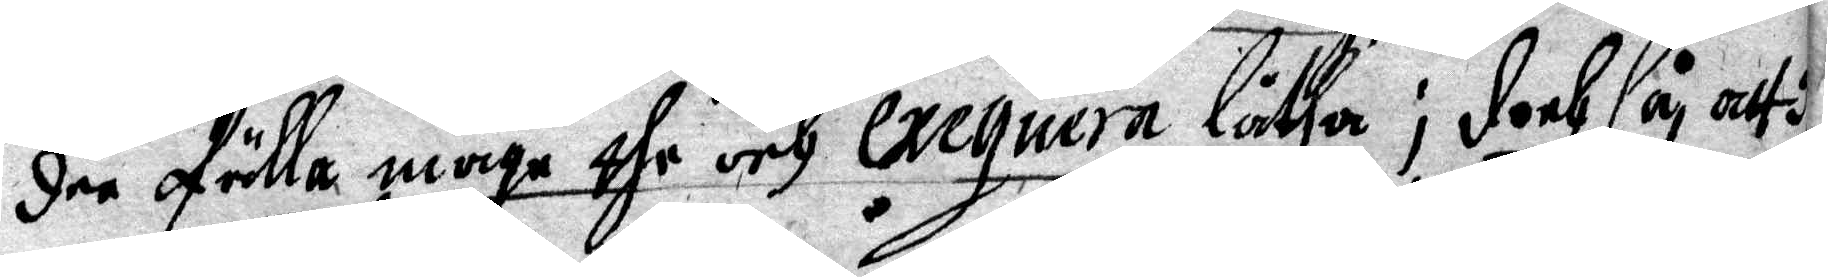dee fälla måge the och exequera låtha; doch så att
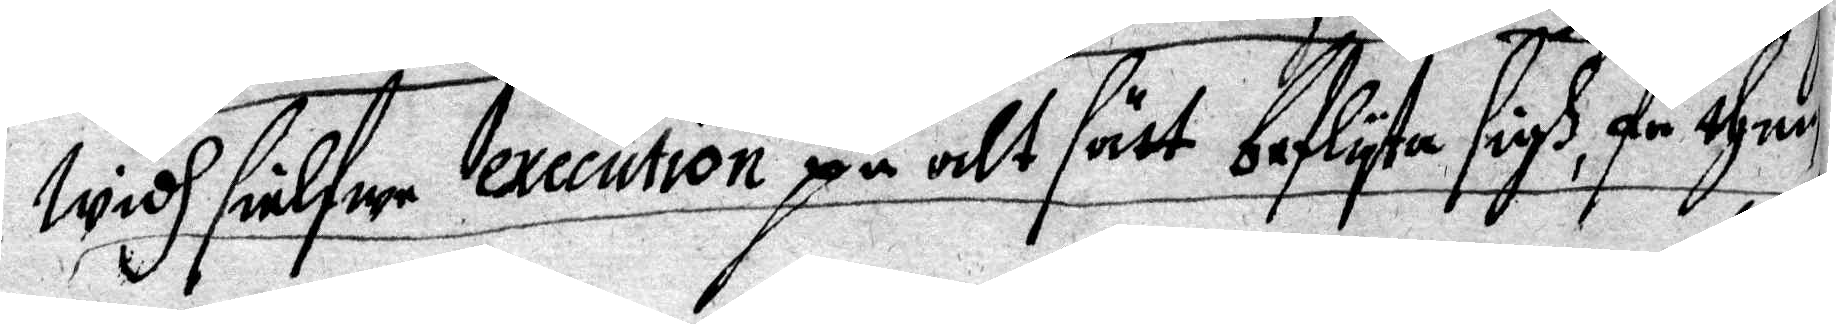widh sielfwe execution på alt sätt beflyta sigh få than
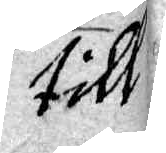till
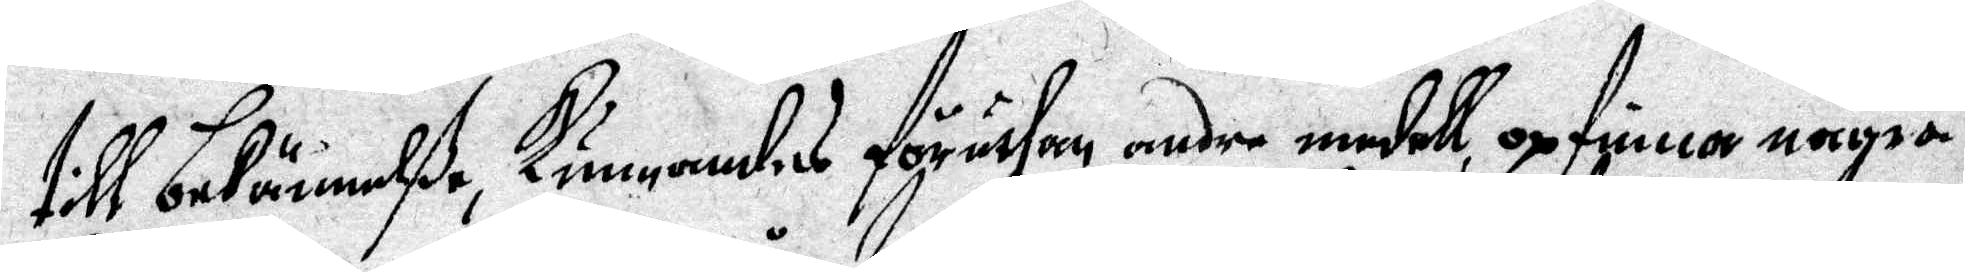till bekänneße, Kunnandes föruthan andre medell, opfinna några
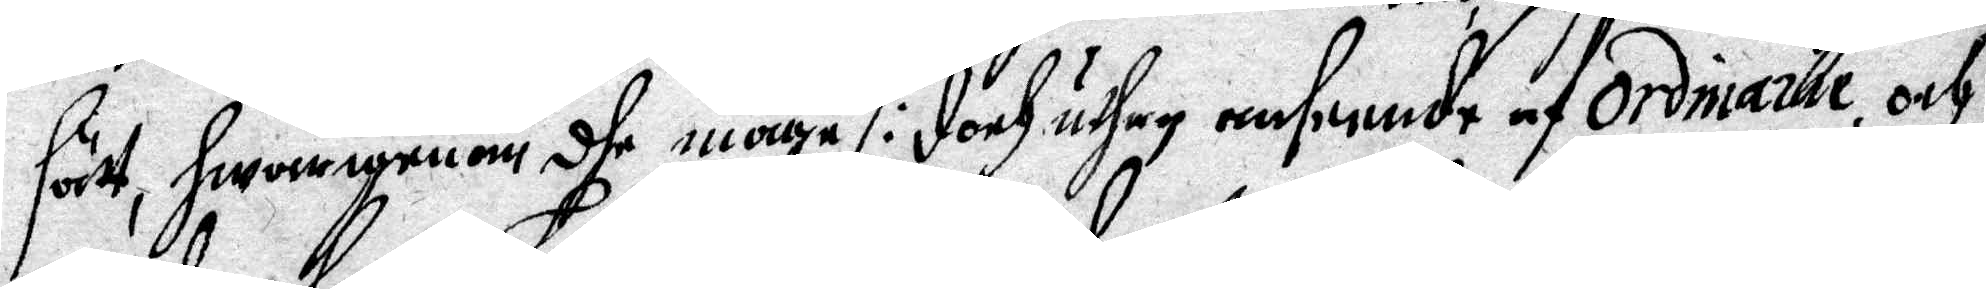sätt, hwarigenom dhe måge /: doch uthan anseende af Ordnarie, och
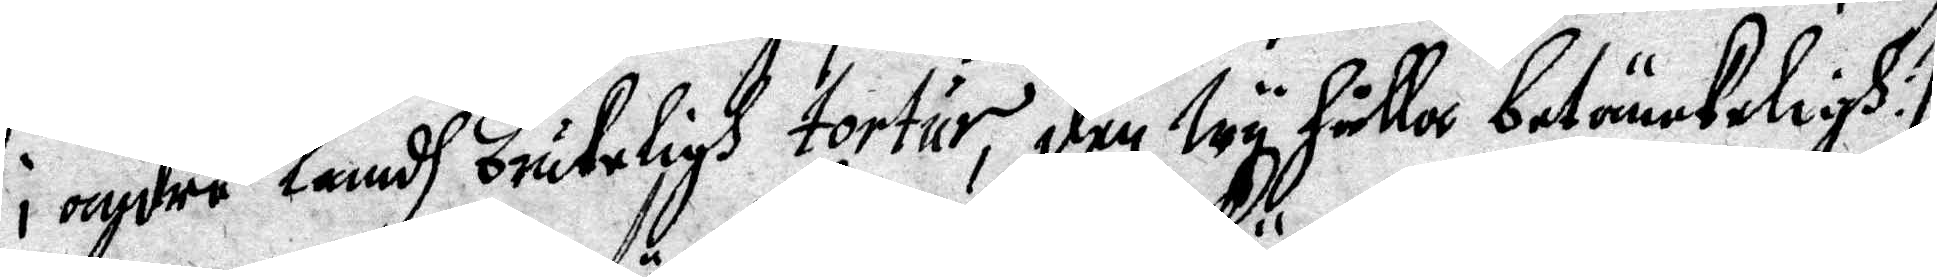i andre landh brukeligh tortur, den wy hålla betänckeligh: I
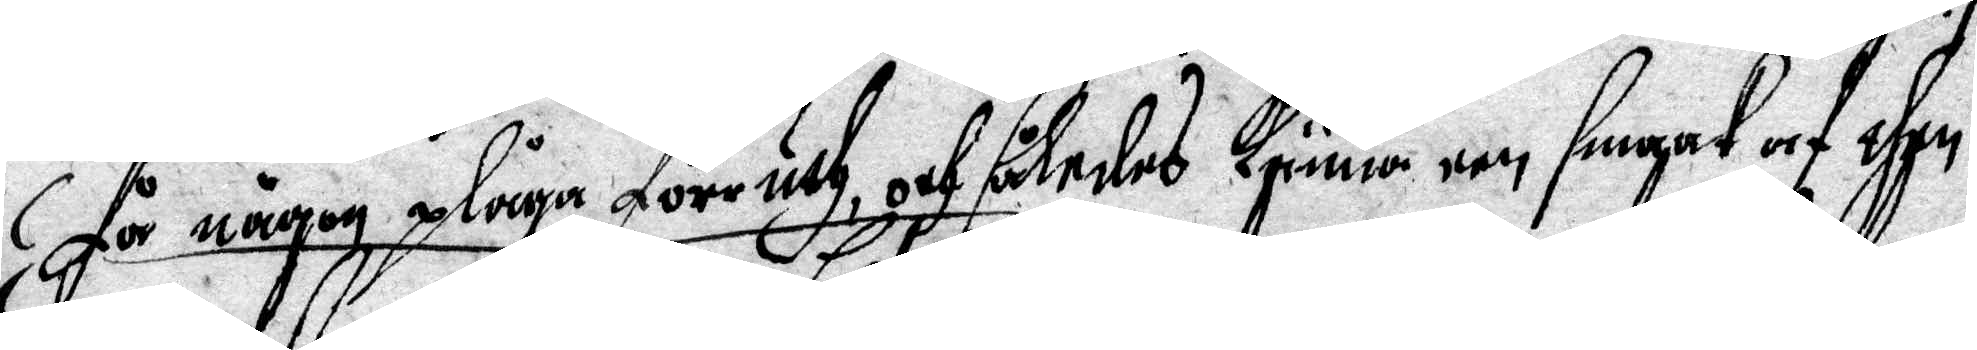får någon plåga förruth, och således känna een smaak af dhen
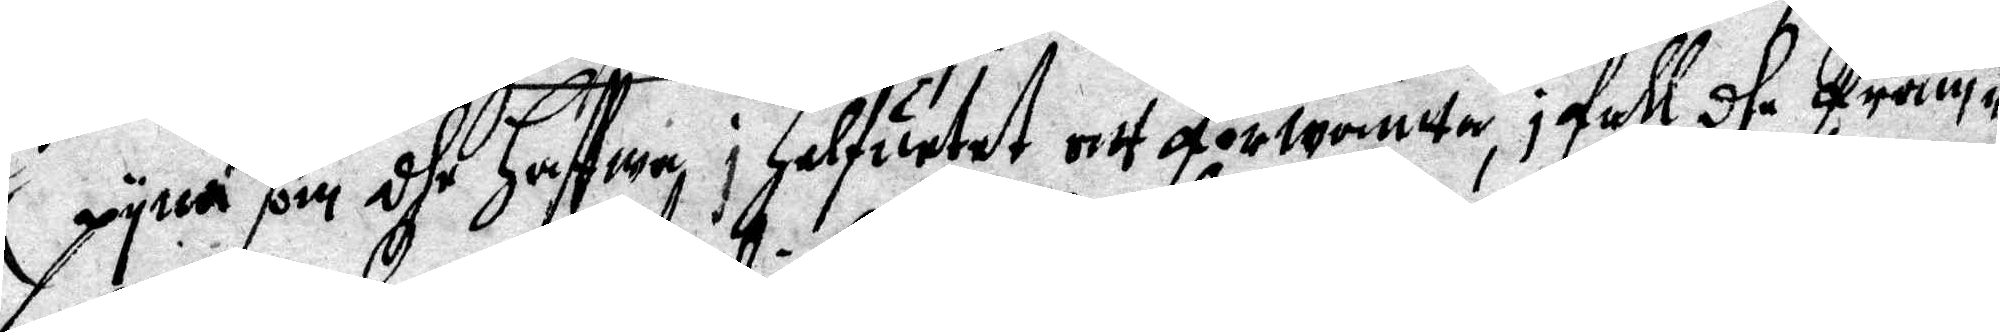pyna som dhe haffwa i Helfuetet att förwänta, i fall dhe fram¬
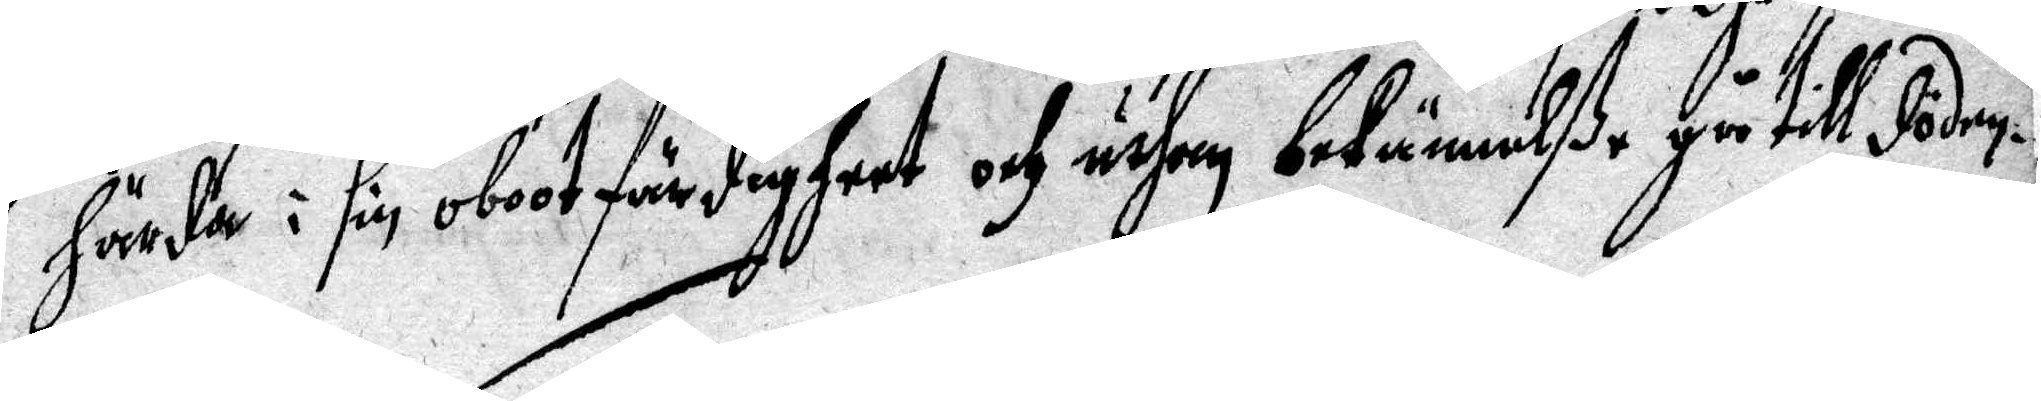härda i sin obootfärdigheet och uthan bekännelße gå till döden.
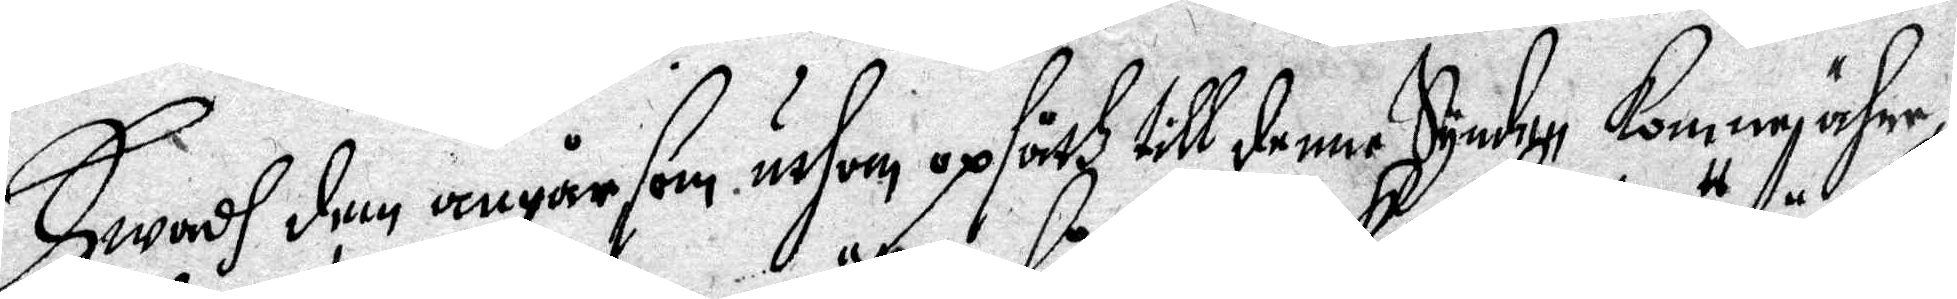Hwadh den angår sen uthan opsåth till denne Synden Komne ähre,
